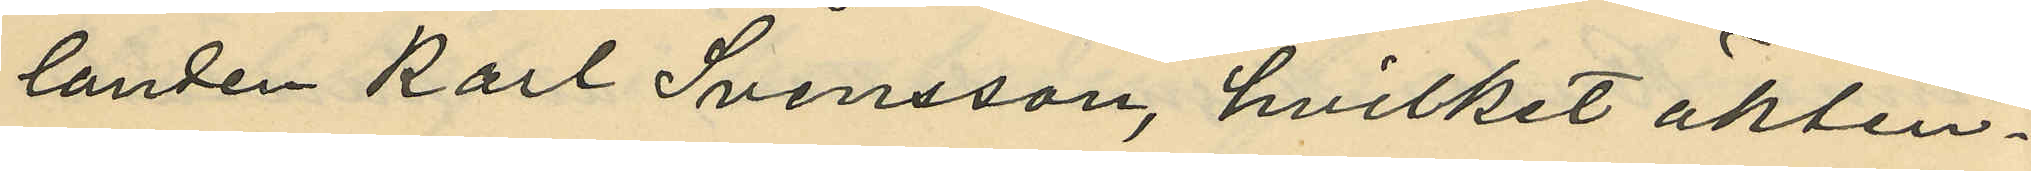landen Karl Svensson, hvilket äkten¬
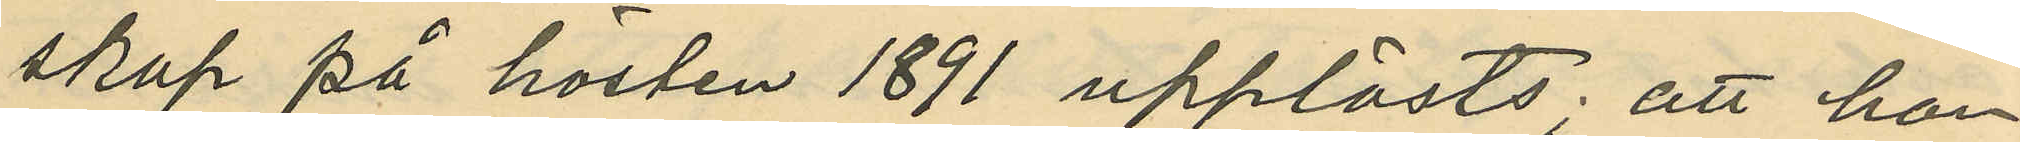skap på hösten 1891 upplösts; att hon
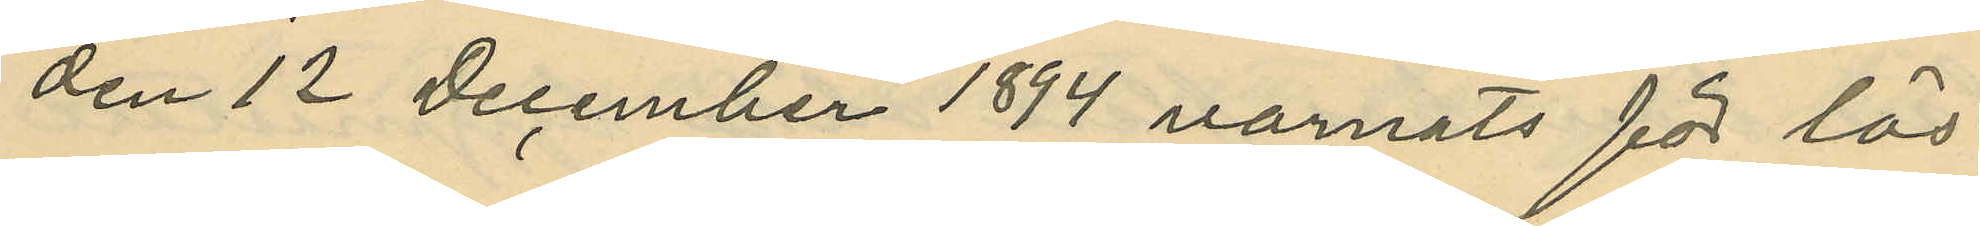den 12 December 1894 varnats för lös¬
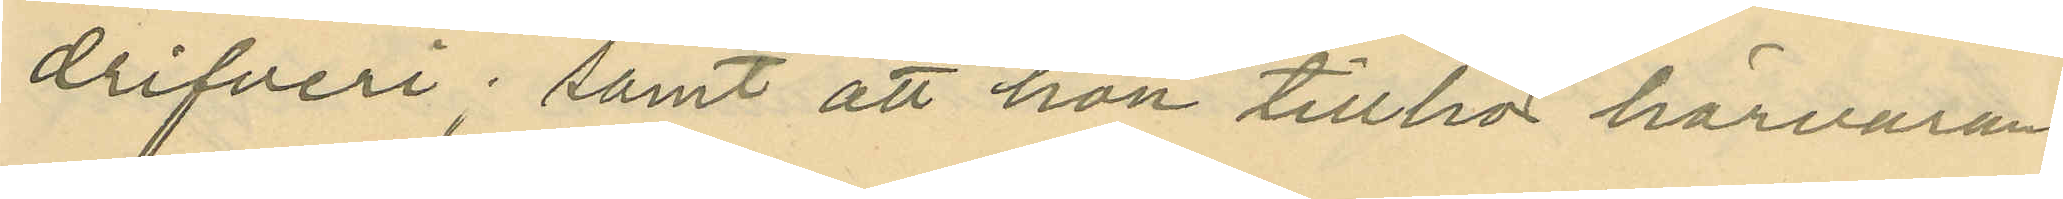drifveri; samt att hon tillhör härvaran¬
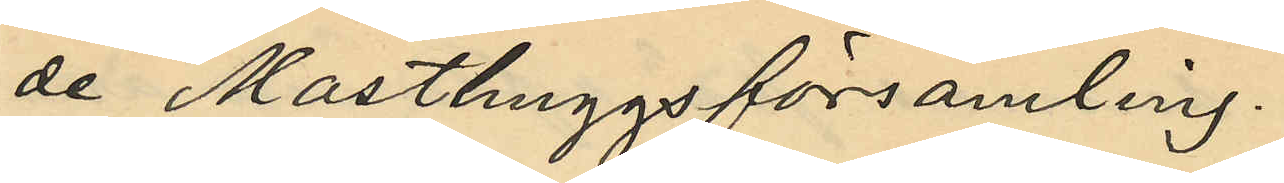de Masthuggs församling.
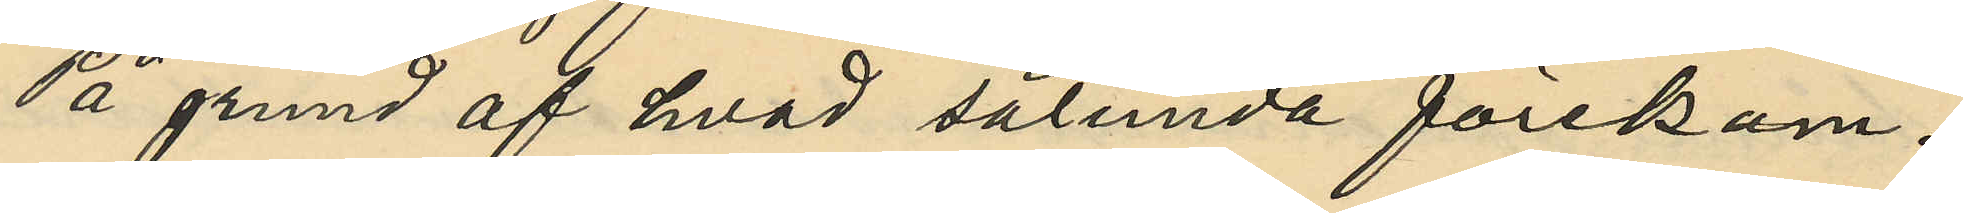På grund af hvad sålunda förekom¬
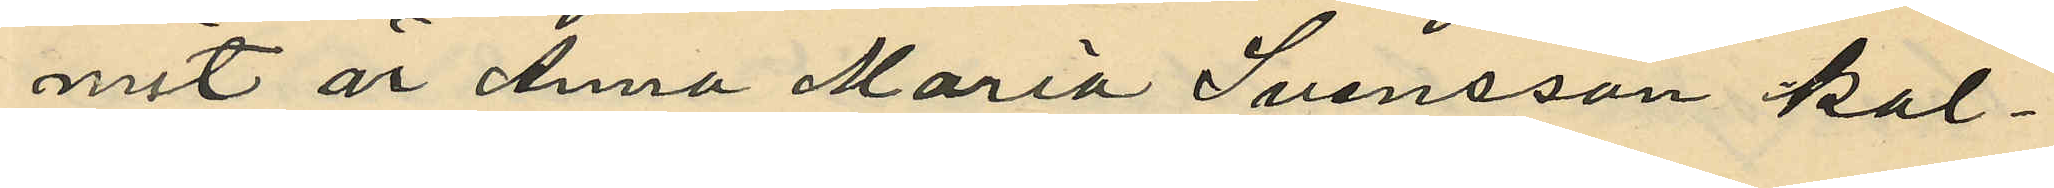mit är Anna Maria Svensson kal¬
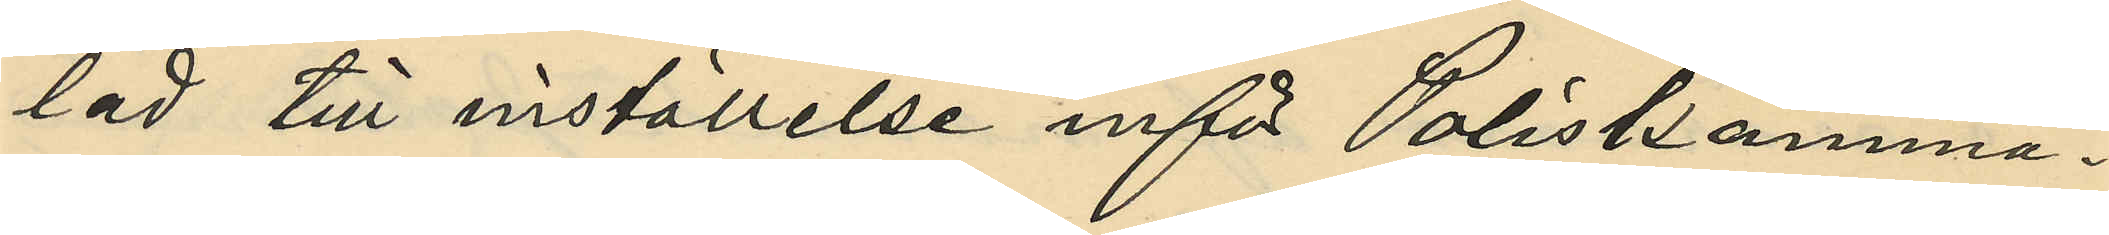lad till inställelse inför Poliskamma¬
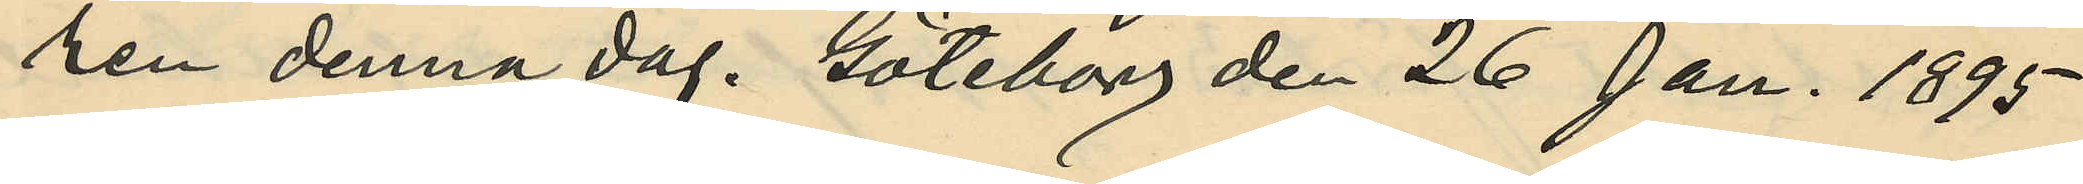ren denna dag. Göteborg den 26 Jan. 1895
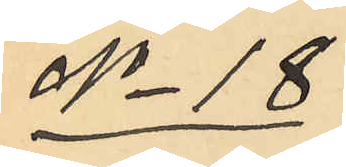No 18
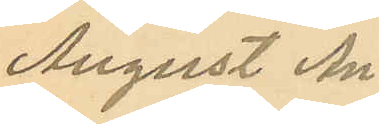August An¬
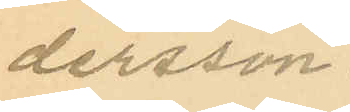dersson.
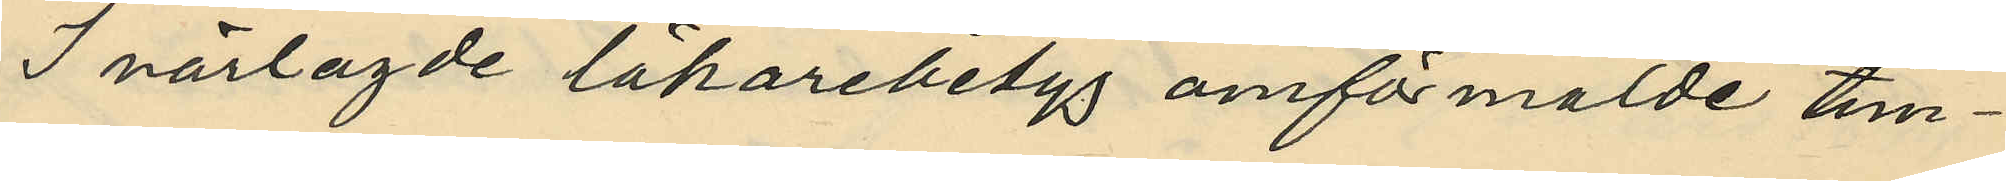I närlagde läkarebetyg omförmälde tim¬
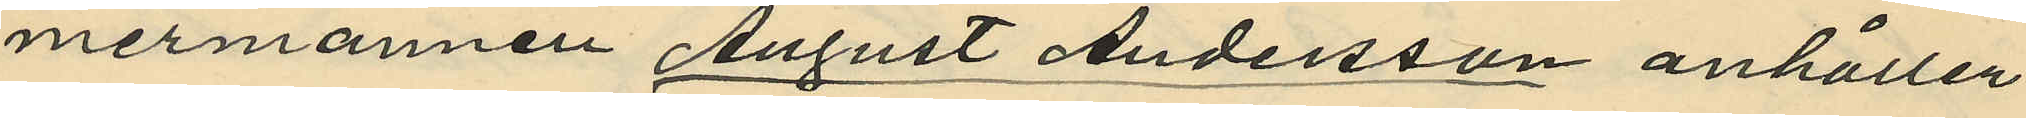mermannen August Andersson anhåller
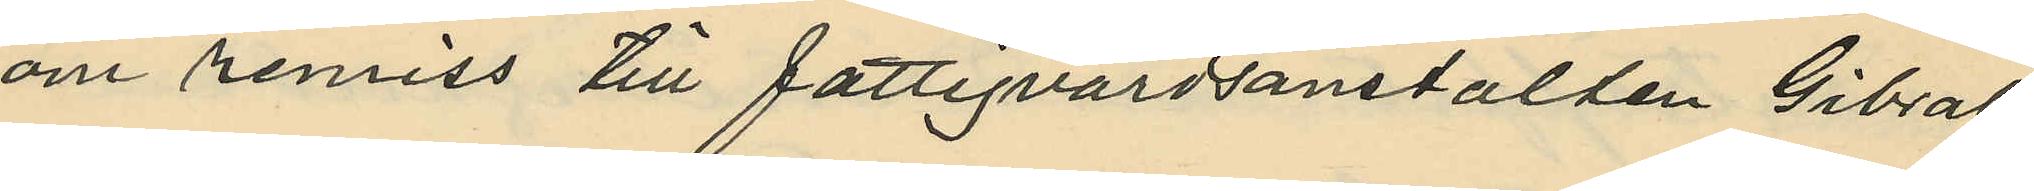om reniss till fattigvårdsanstalten Gibral¬
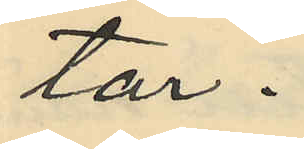tar.
